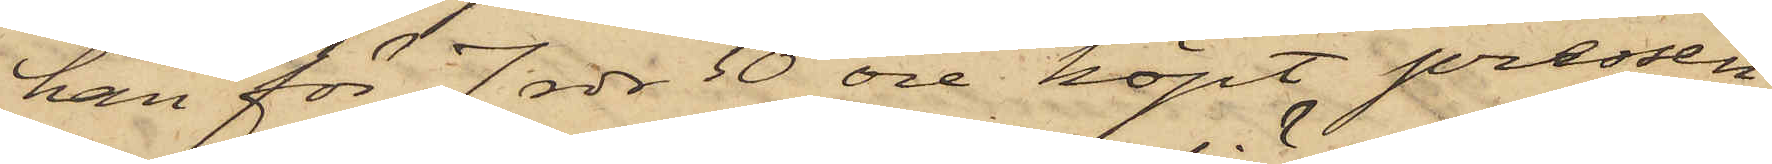han för 7 rdr 50 öre köpt pressen¬
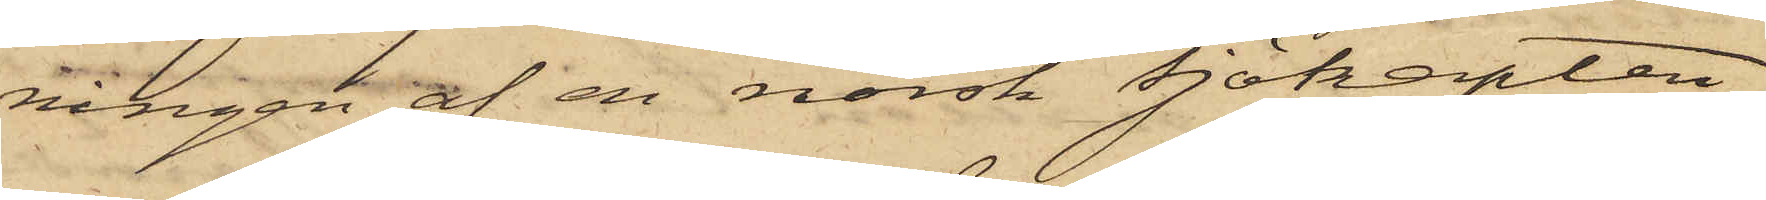ningen af en norsk Sjökapten.
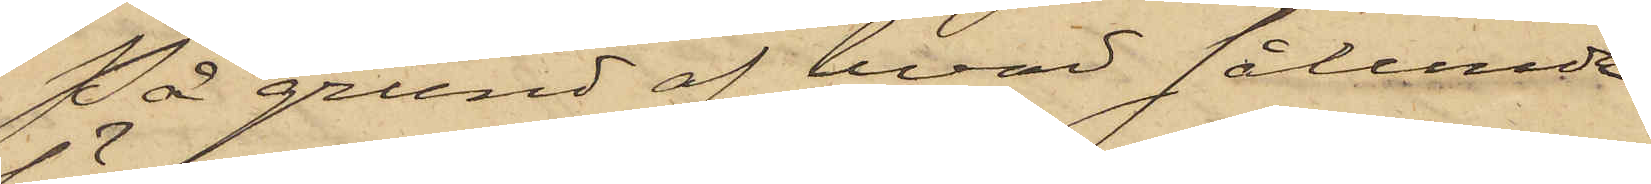På grund af hvad sålunda
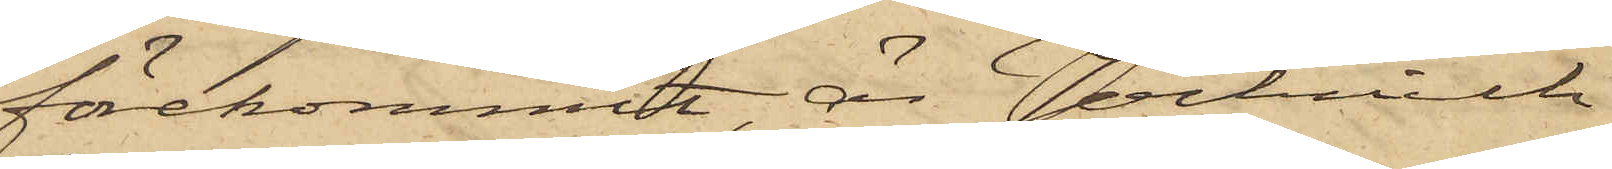förekommit, är Jochnich
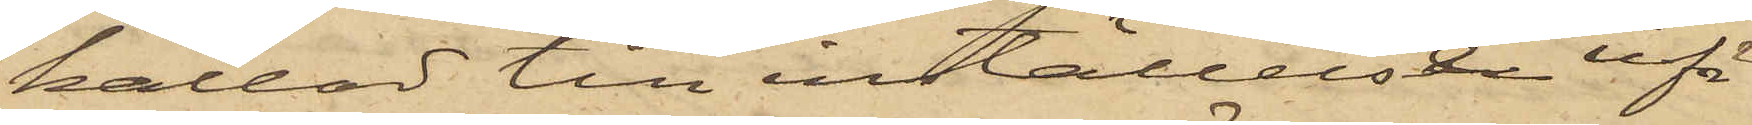kallad till inställelse iför
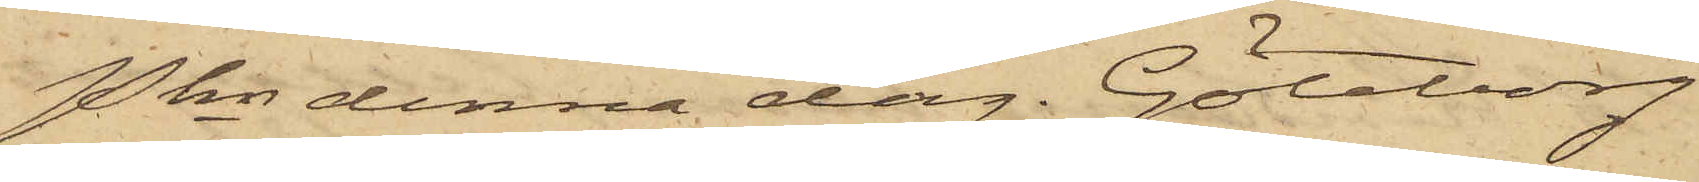Pkn denna dag. Göteborg
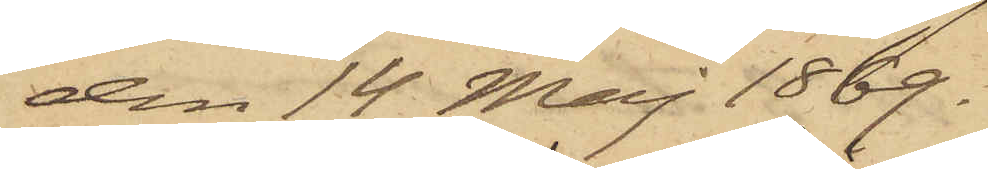den 14 Maj 1869.
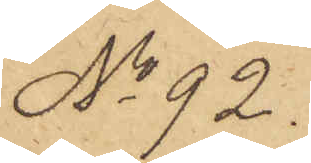No 92.
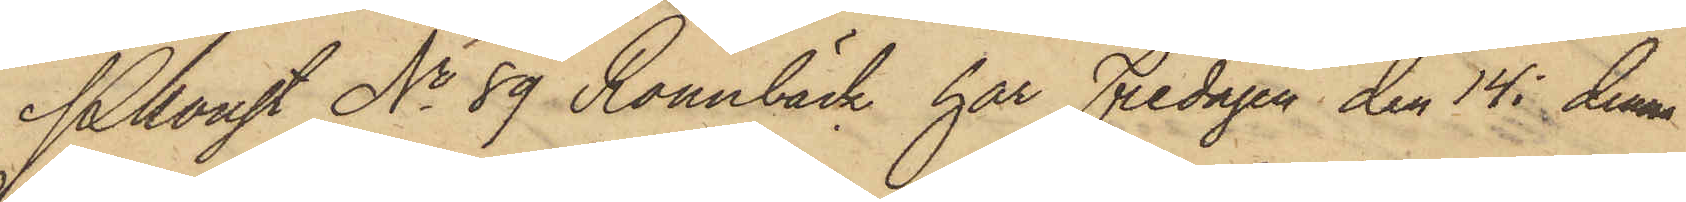Pkonst No 89 Rönnbäck har Fredagen den 14 i denne
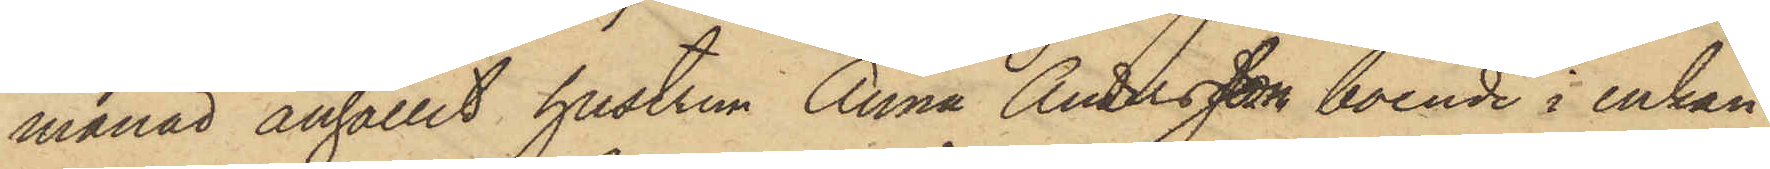månad anhållit hustrun Anna Andersson boende i enkan
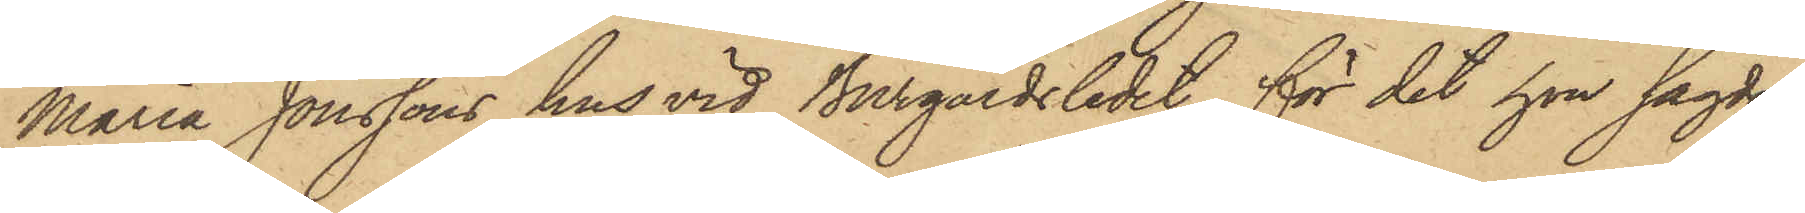Maria Jonssons hus vid Burgårdsledet, för det hon sagde
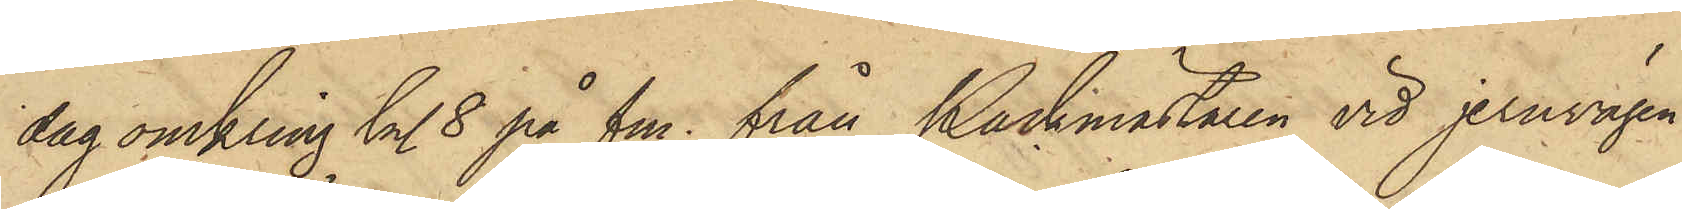dag omkring kl. 8 på fm. från Packmästaren vid jernvägen
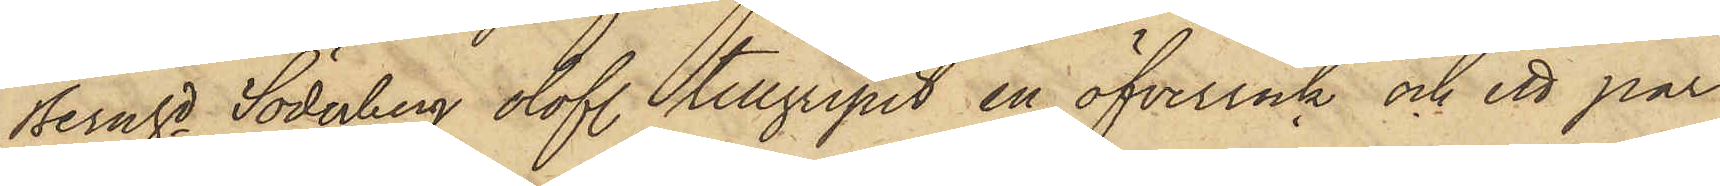Bernhd Söderberg olofl. tillgripit en öfverrock och ett par
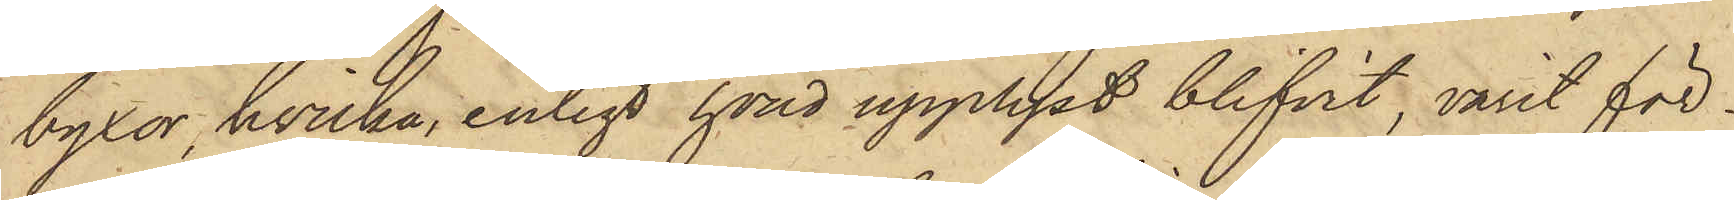byxor, hvilka, enligt hvad upplyst blifvit, varit för¬
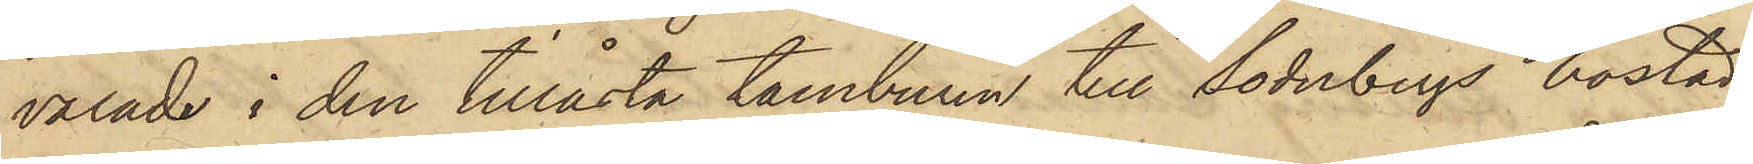varade i den tillåsta tamburen till Söderbergs bostad;
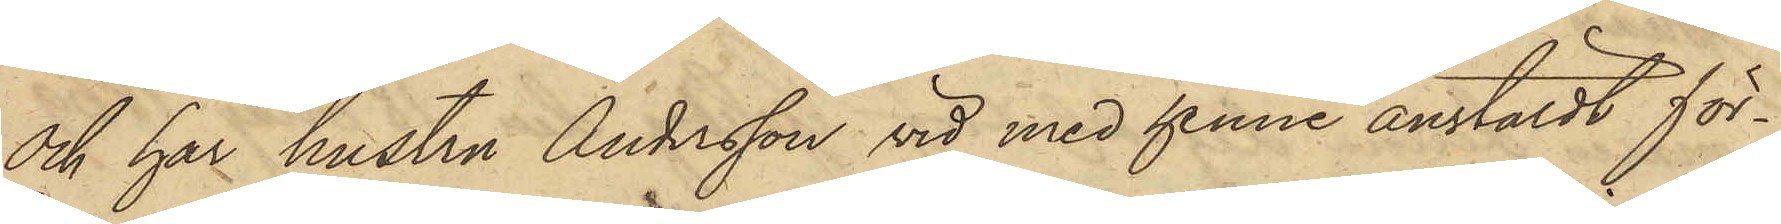och har hustru Andersson vid med henne anstäldt för¬
